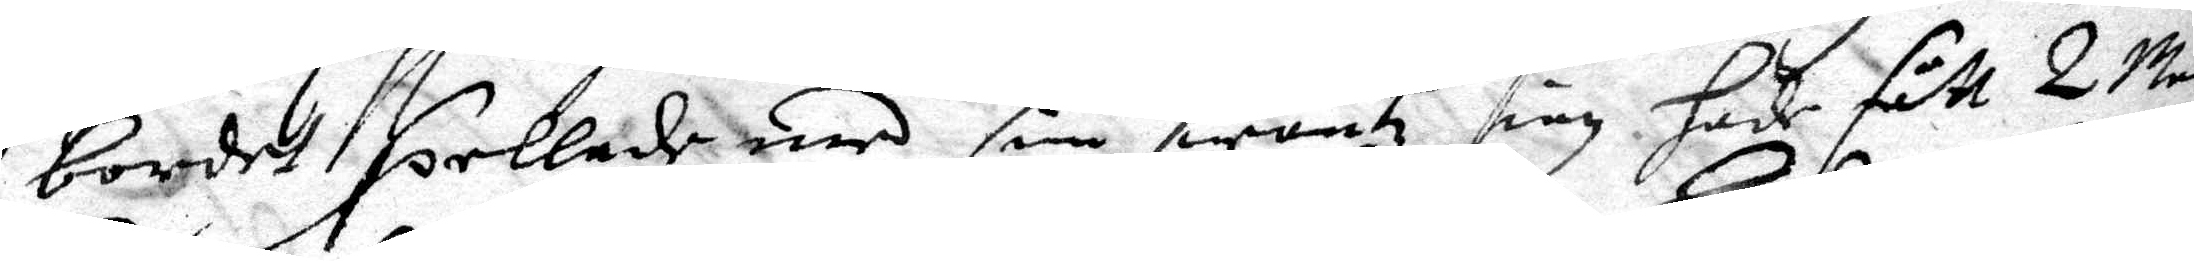bordet spellade med sin swantz iag hade fått 2 Mei
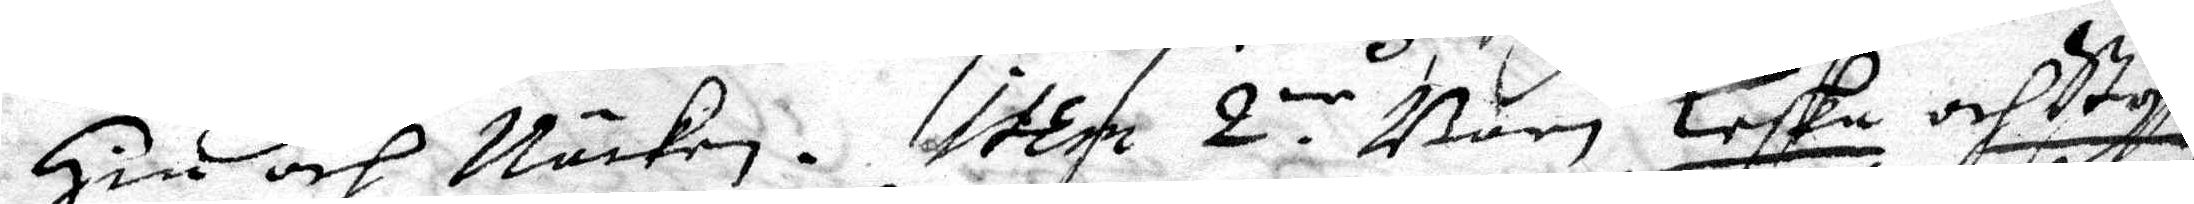Hin och Näcken. Iteim 2:ne Barn Leska och Styga¬
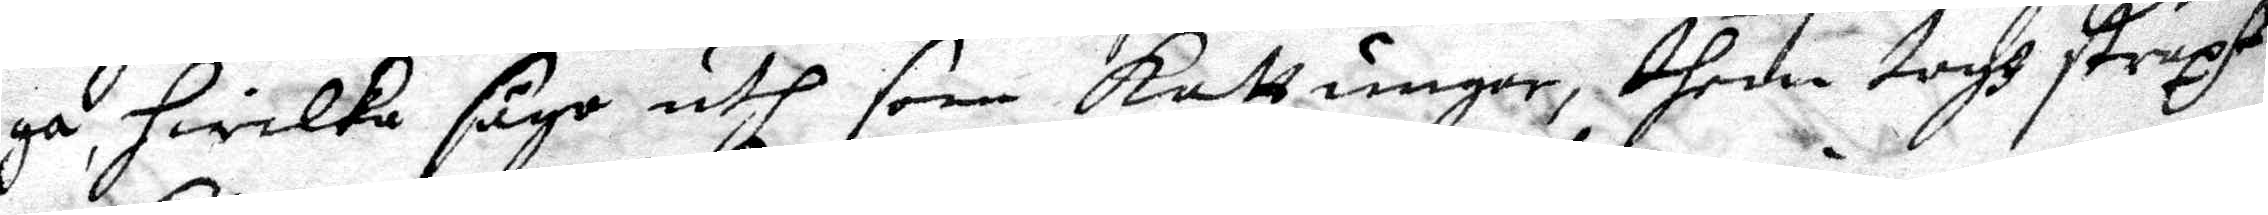ga,  hwilka sågo uth som kattungar, them togh straxt
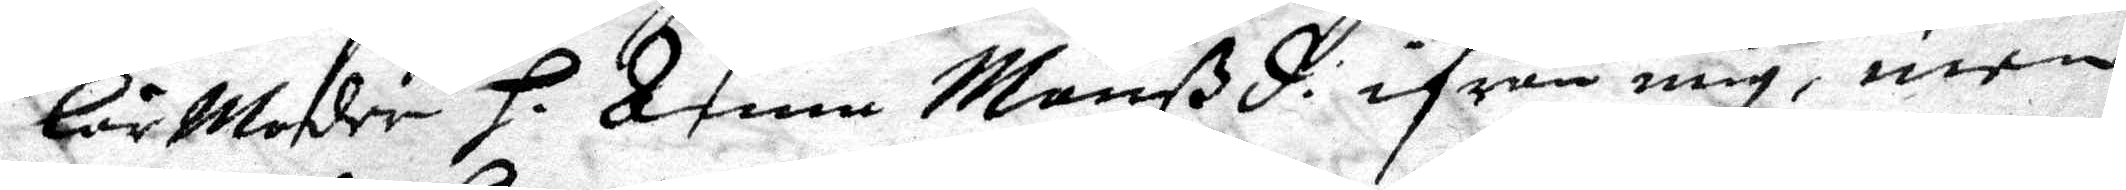lär Moder H. Anna Månßd. ifrån mig, men 
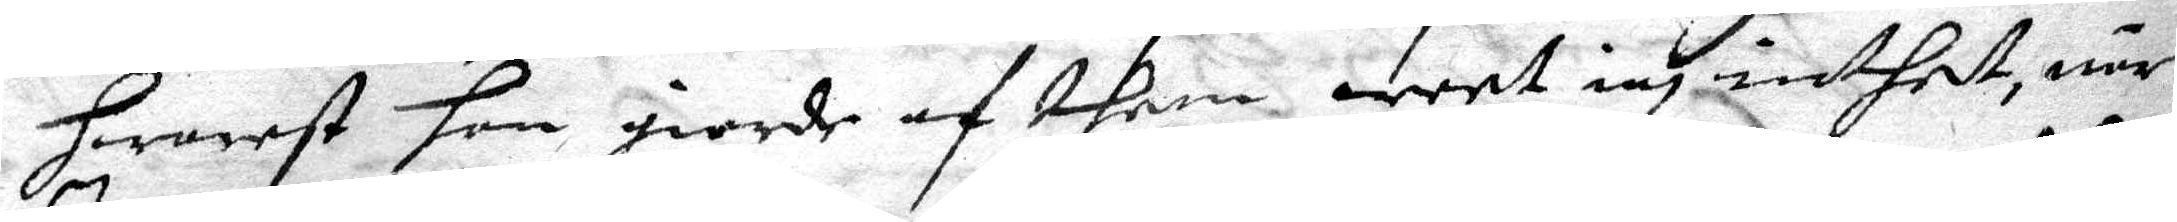hwarest hon giorde af them weet iag inthet, när
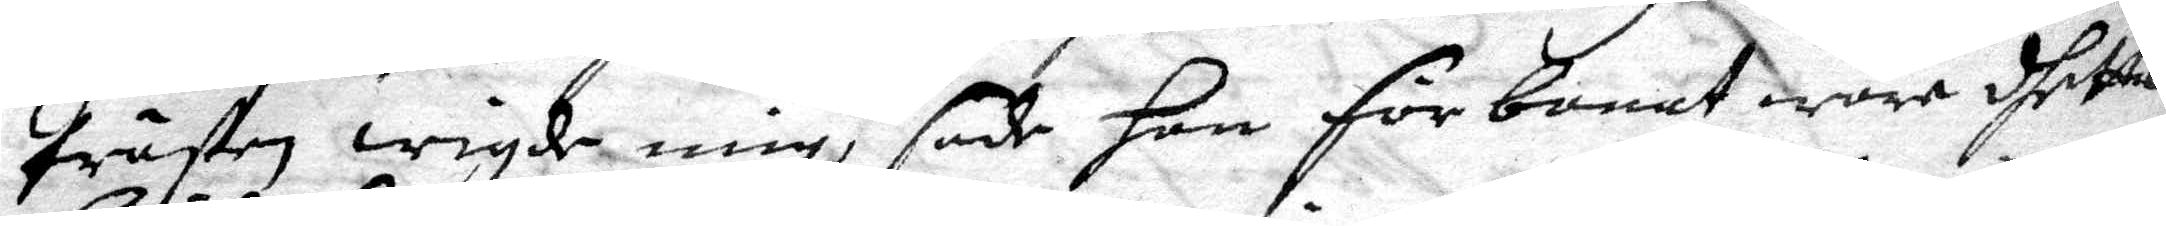Prästen wigde mig, sade han förbanat ware dhetta
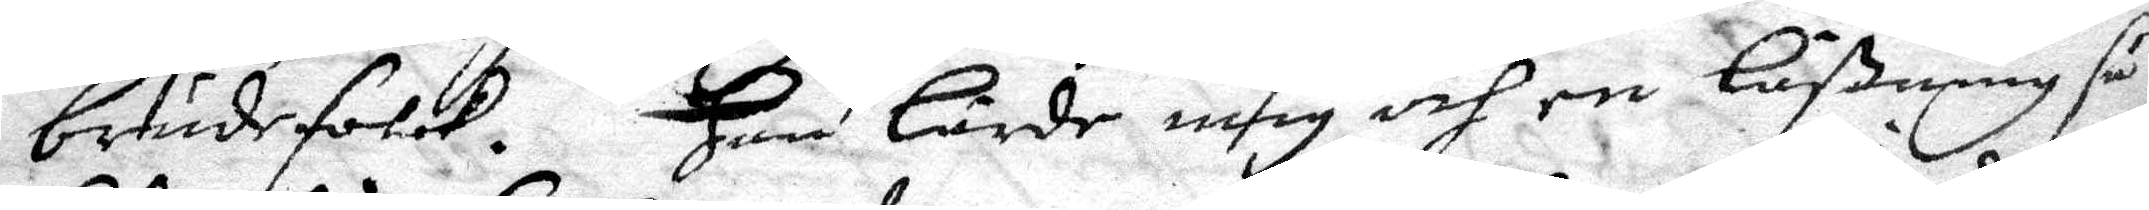brudefolck. Han lärde mig och en Läßning så
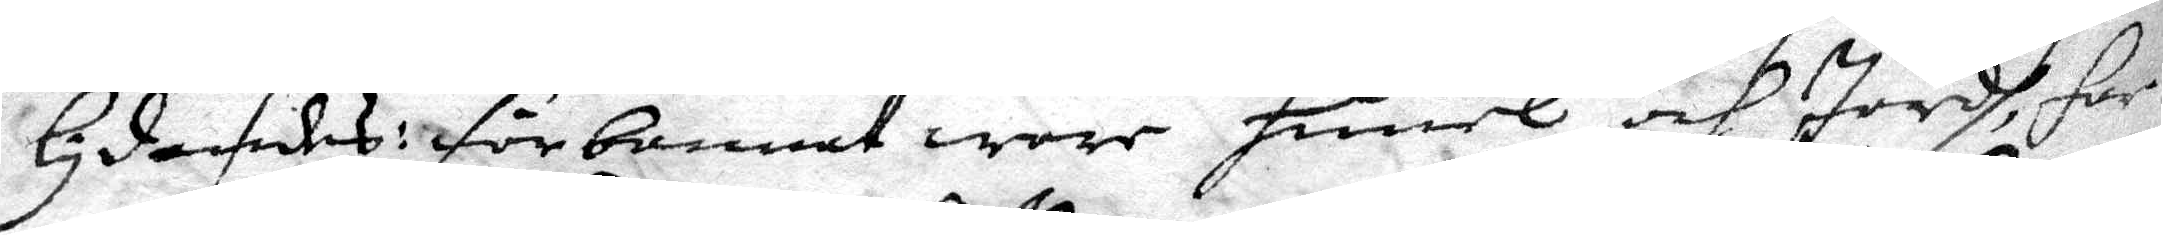lydandes: förbannat wore himel och Jordh, far
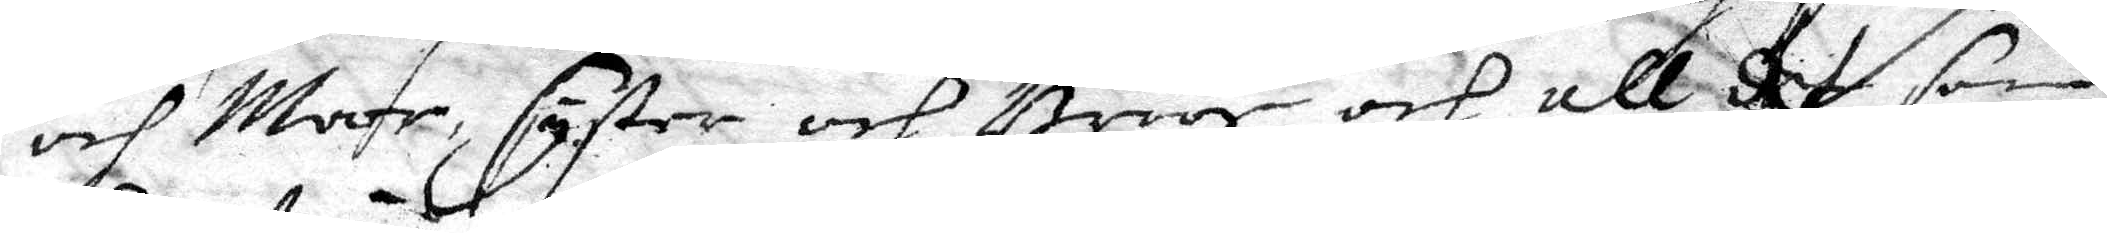och Moor, syster och Broor och all det som
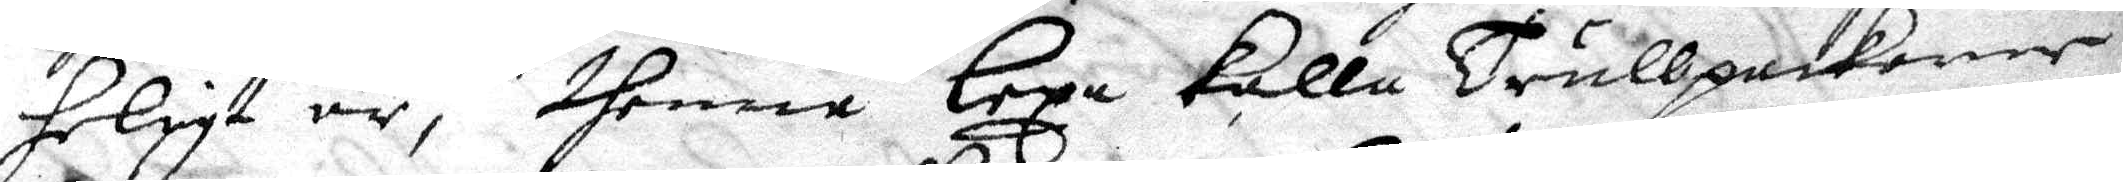heligt är, thenne lexa kalla Trullpackonne
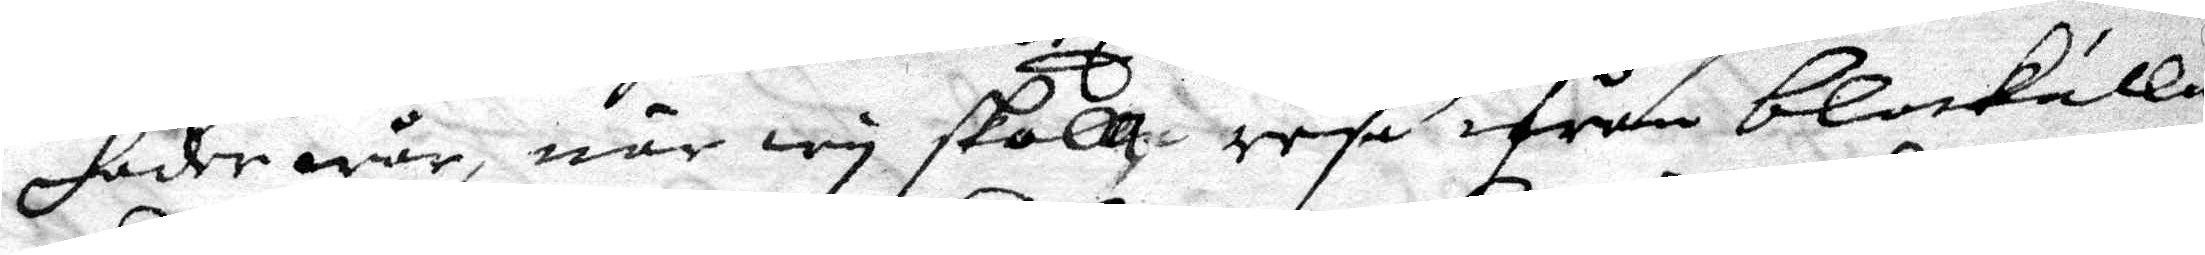fader wår, när wy skall rese ifrån blokalla
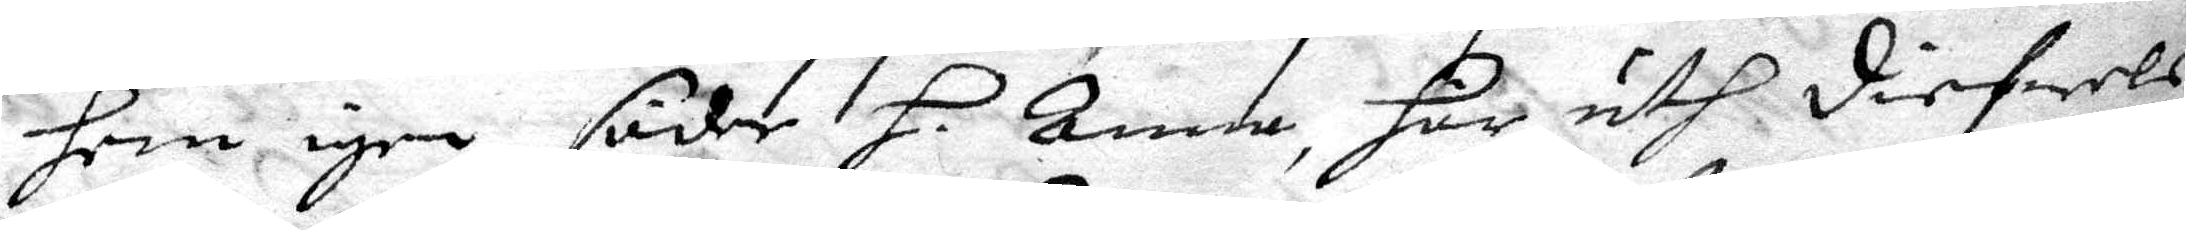hem igen föder H Anna, här uth diefwels 
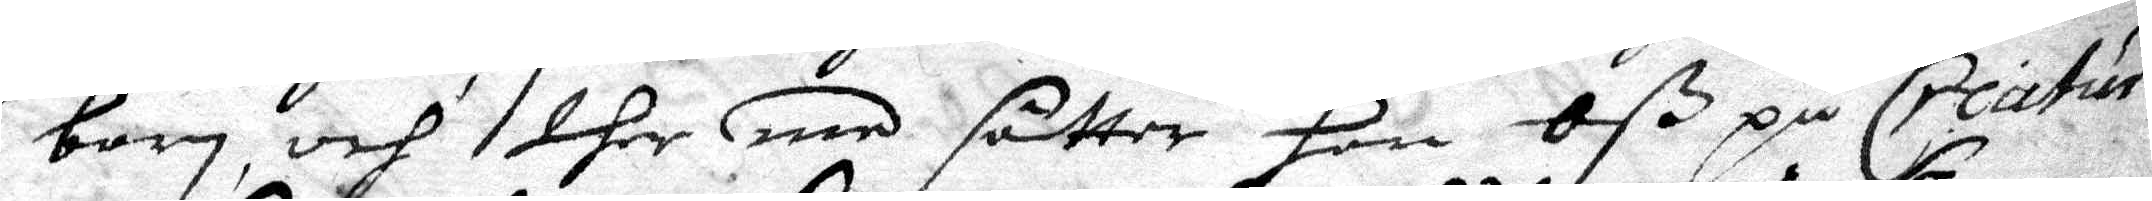barn, och ther med sätter hon Oß på Creaturet
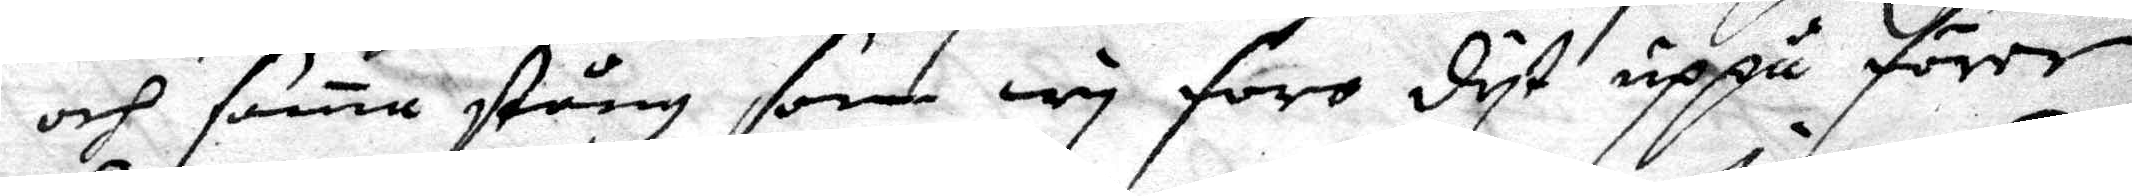och sama stång som wy foro dyt uppå förer
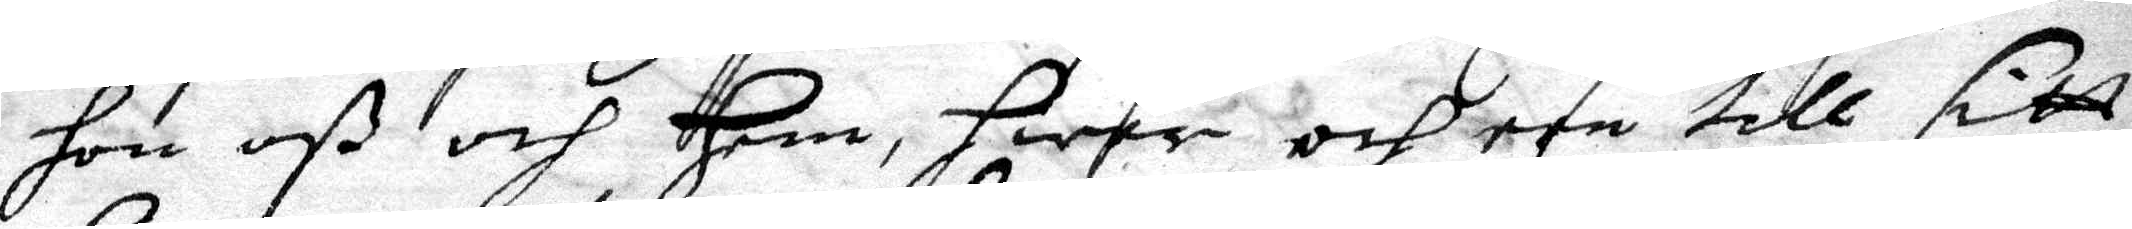hon oß och hem, hwar och een till sitt
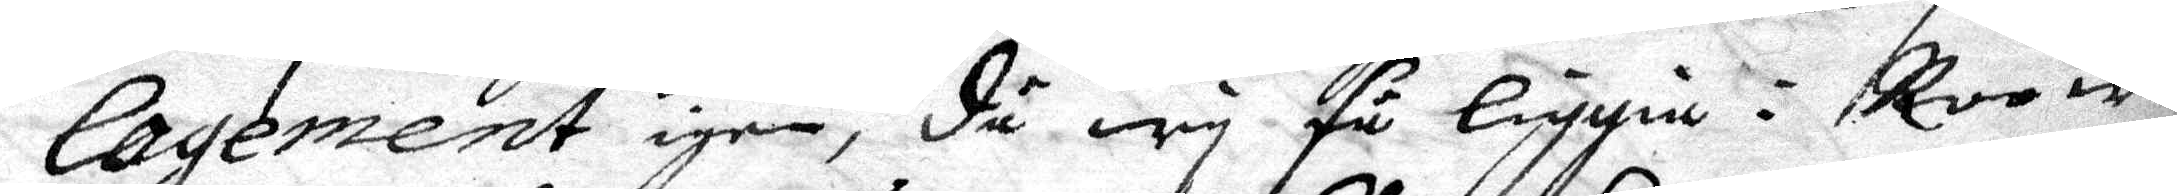logement igen, då wy få liggia i Roo wid
